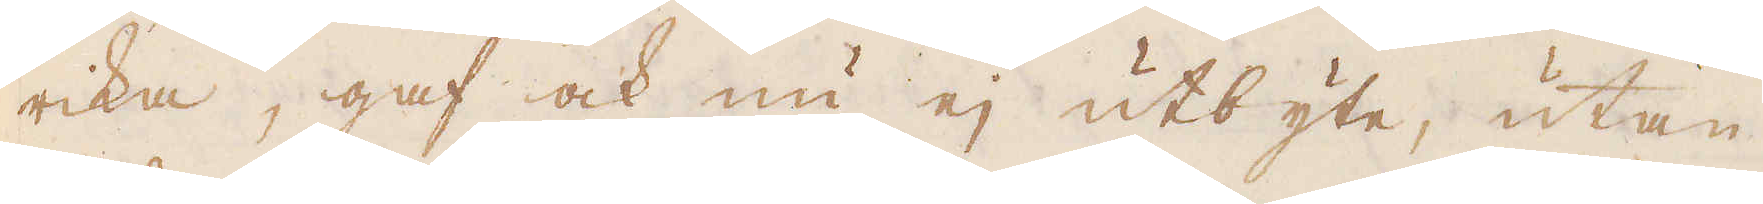rika, gaf och nu ej utbyte, utan
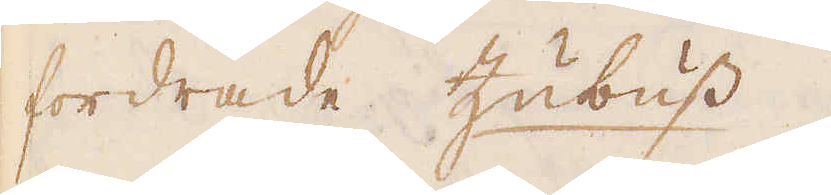fordrade Zubuss.
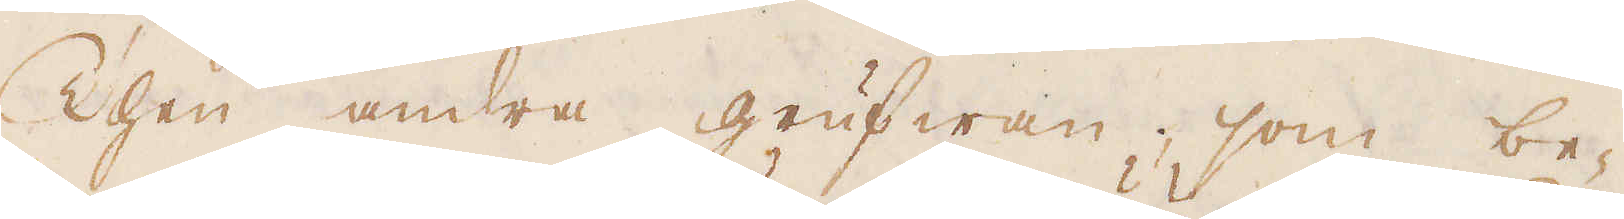Then andra grufwan, som be-
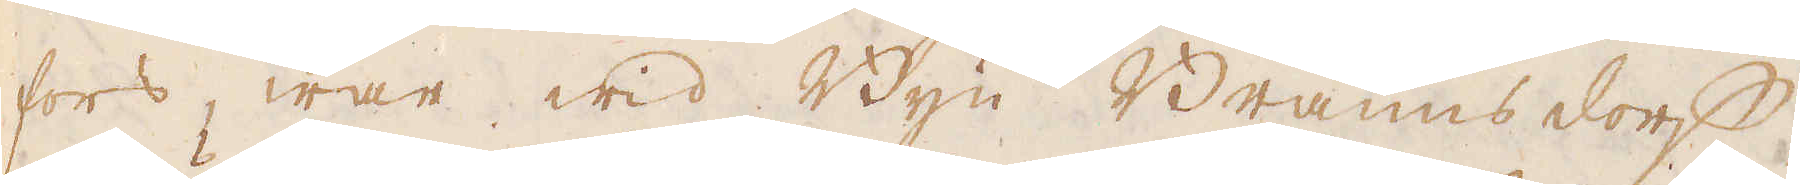fors, war wid Byn Bräunsdorff,
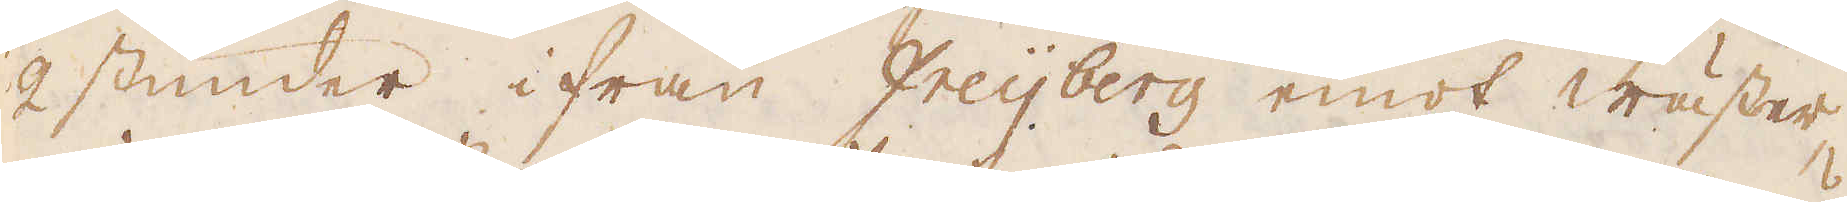2 stunder ifrån Freijberg emot wäster
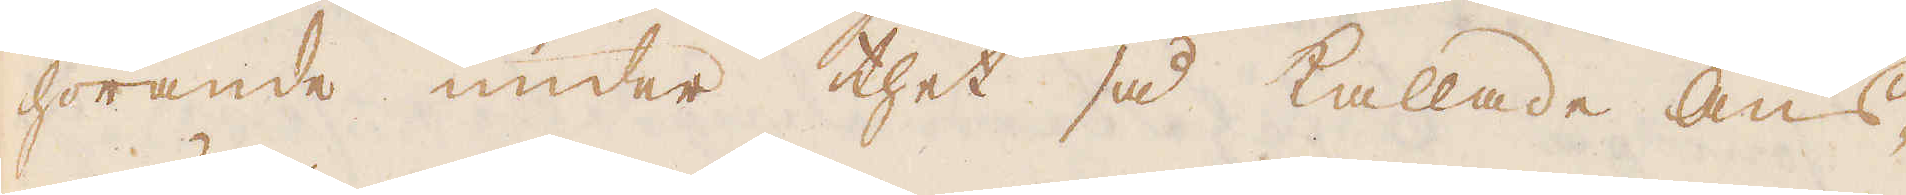hörande under thet så kallade Aus
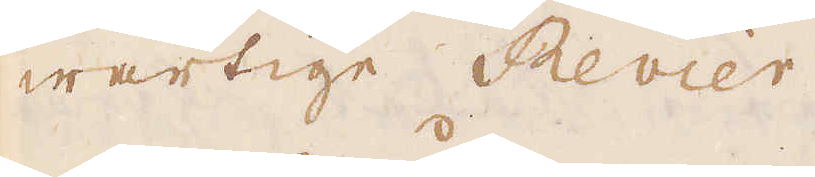wärtige Revier.
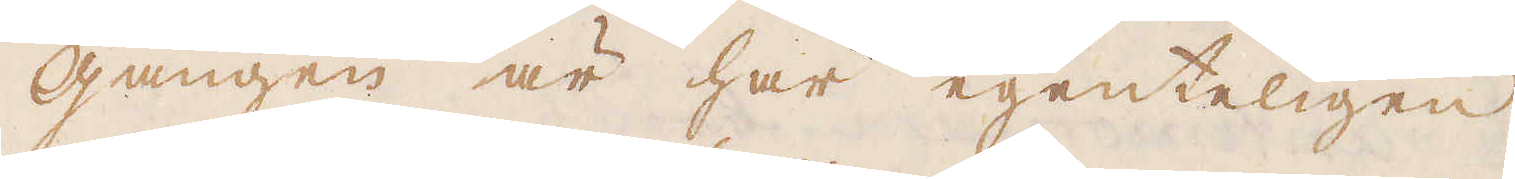Gången är här egenteligen
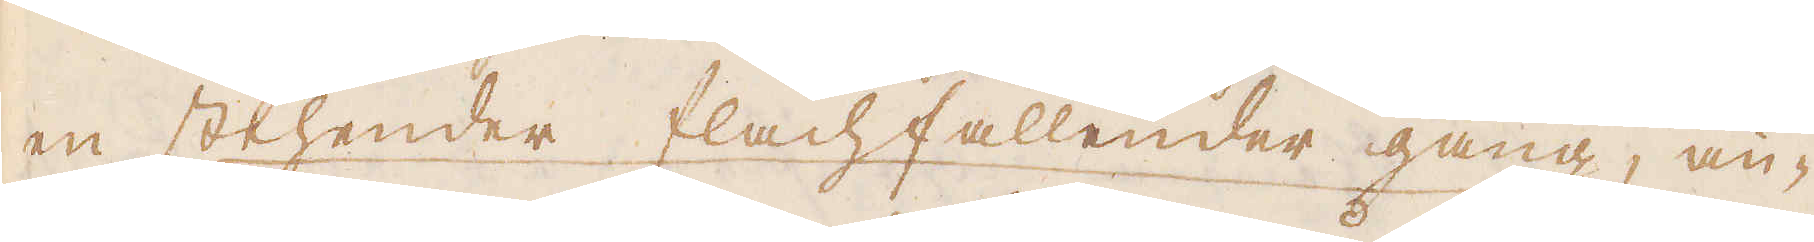en stehender flachfallender gang, än-
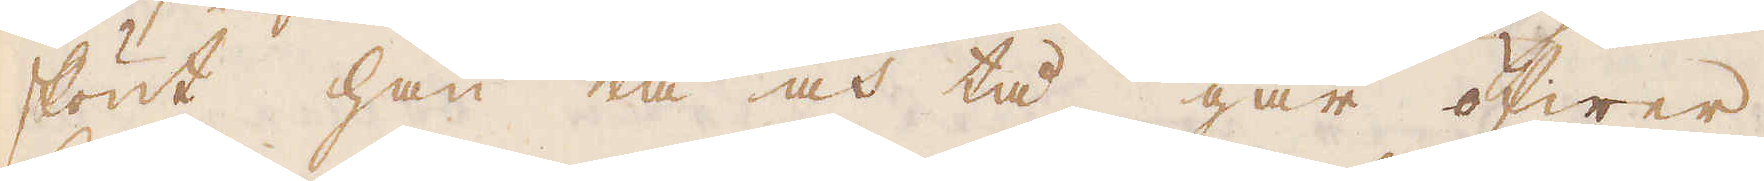skönt han tå och tå går öfwer
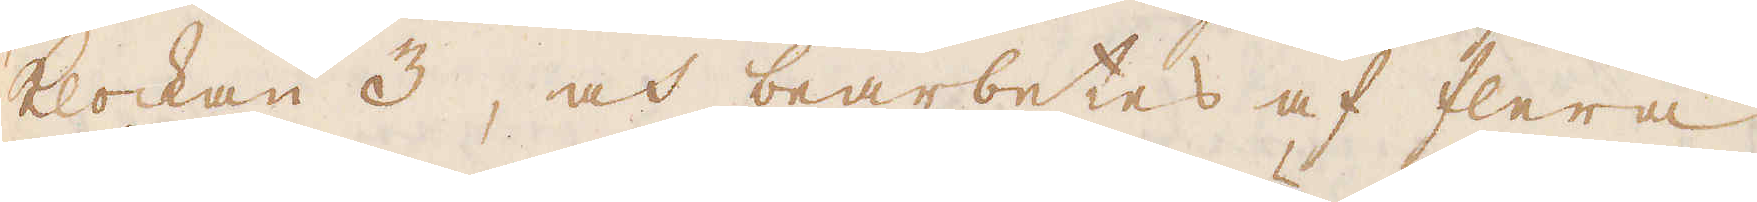klockan 3, och bearbetes af flera
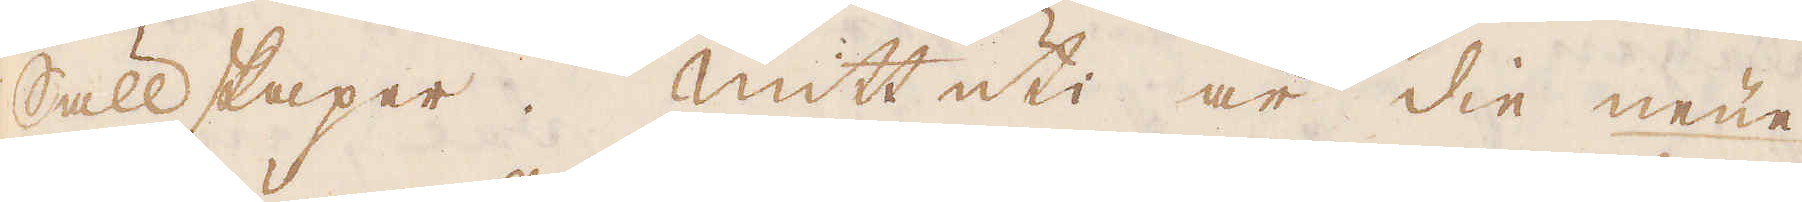Sällskaper. Mitt uti är die neüe
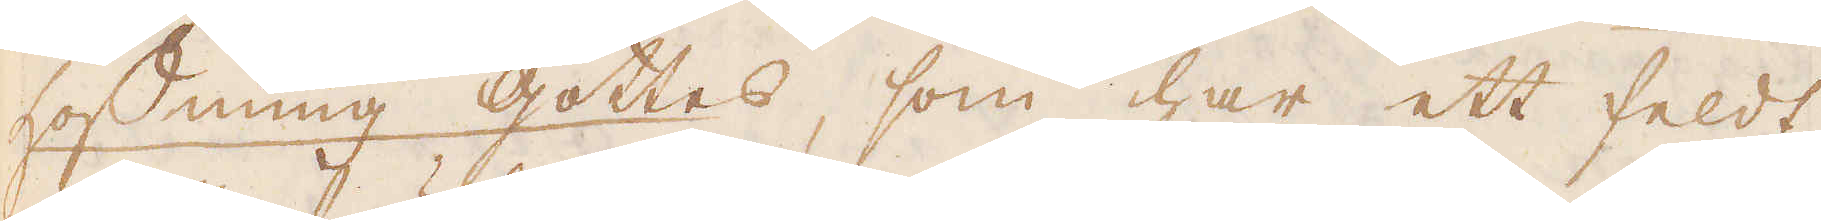hoffnung gottes, som har ett feldt
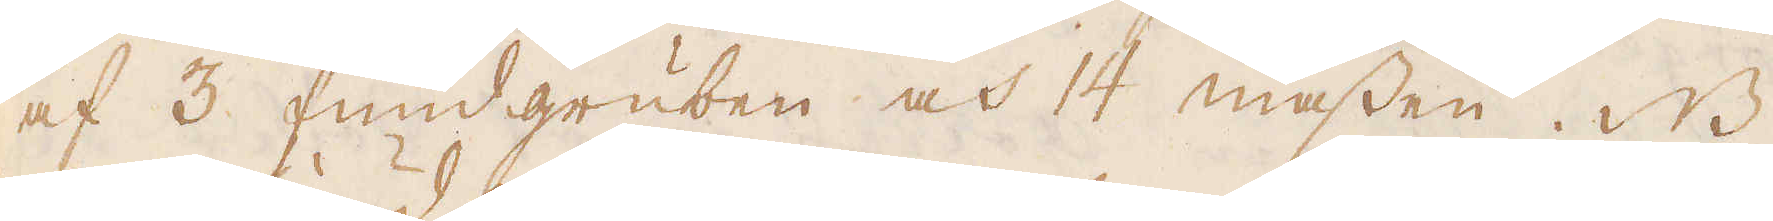af 3 fundgruben och 14 massen. NB
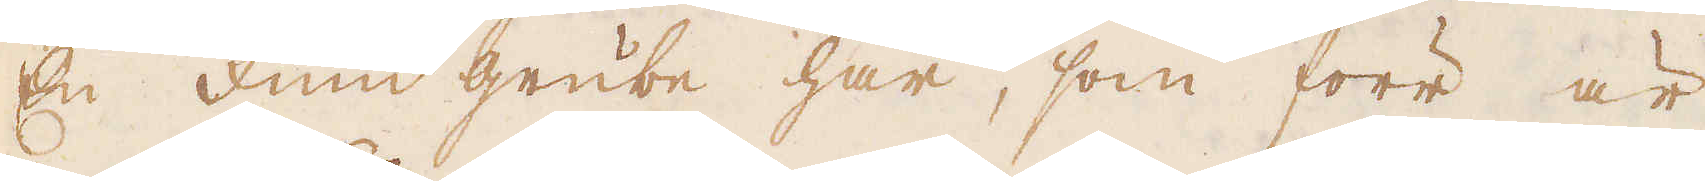En fund grube har, som förr är
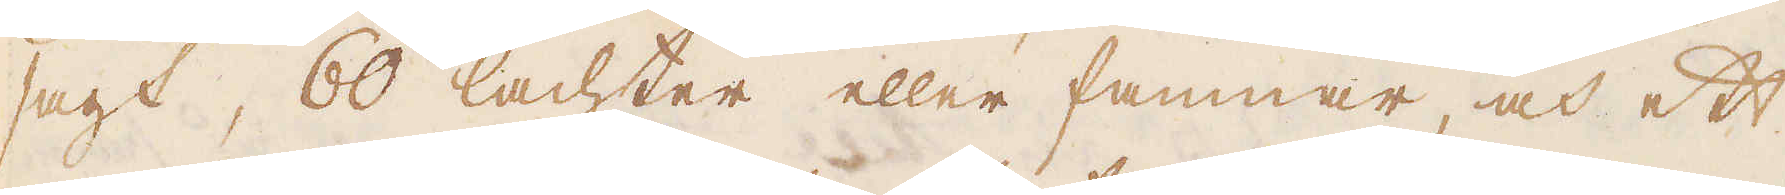sagt, 60 lachter eller famnar, och ett
